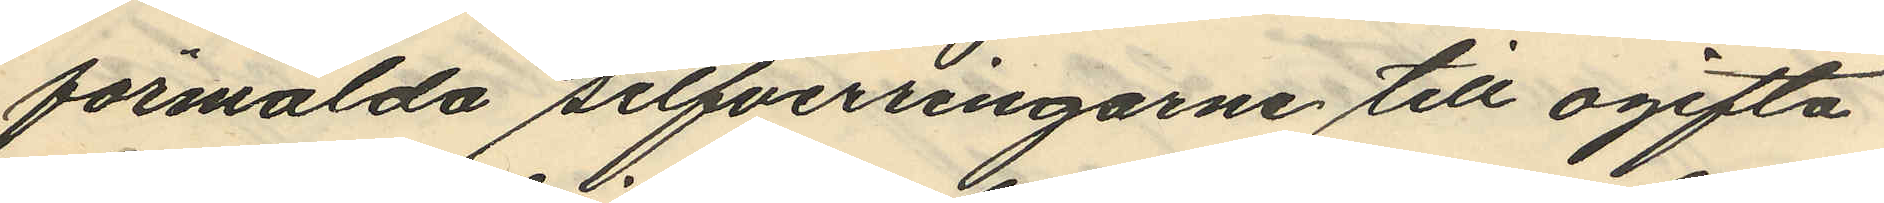förmälda silfverringarne till ogifta
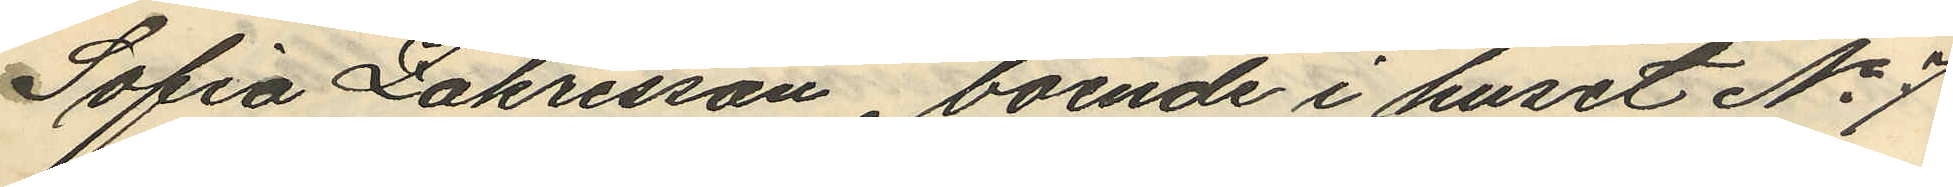Sofia Zakrisson, boende i huset No 7
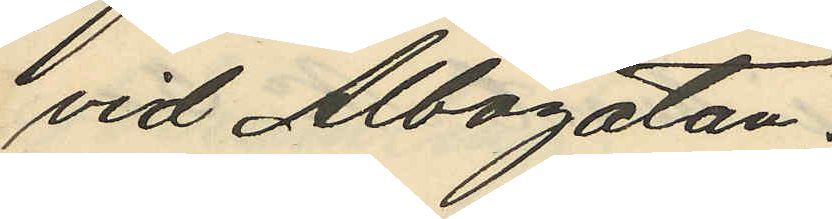vid Albogatan;
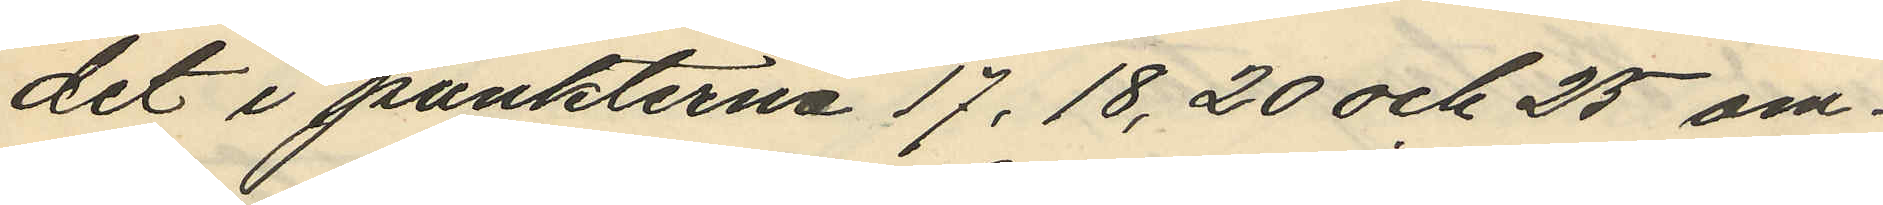det i punkterna 17, 18, 20 och 25 om¬
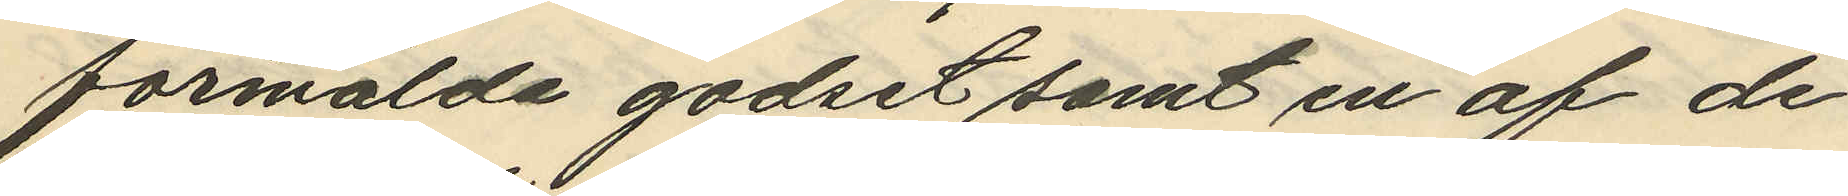förmälde godset samt en af de
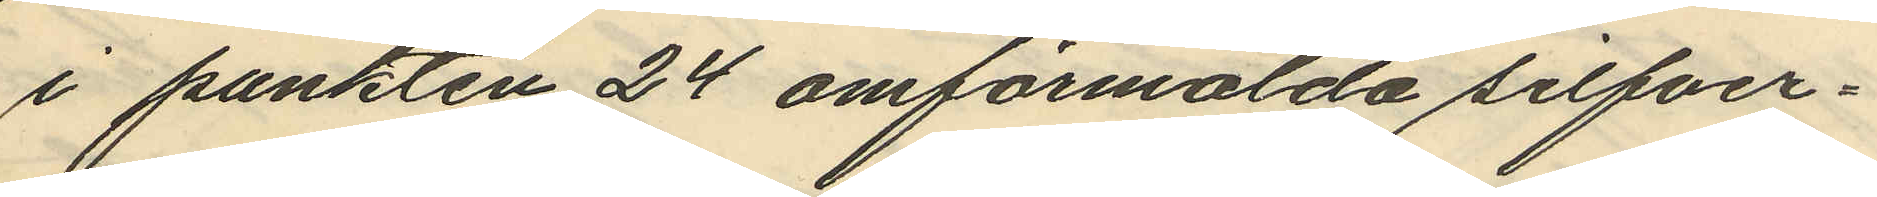i punkten 24 omförmälda silfver¬
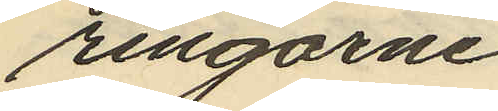ringarne
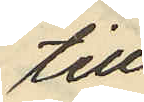till
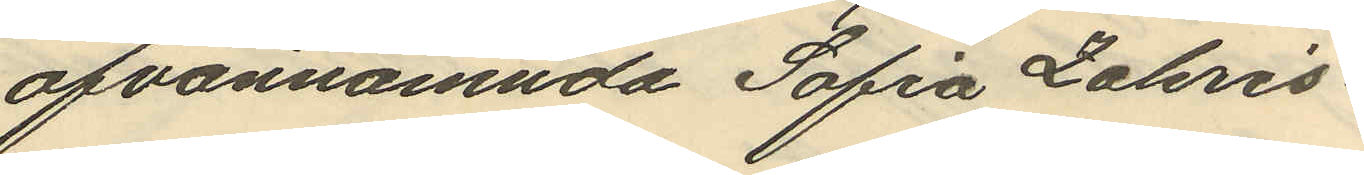ofvannämnda Sofia Zakris¬
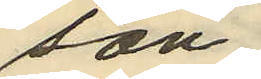son,
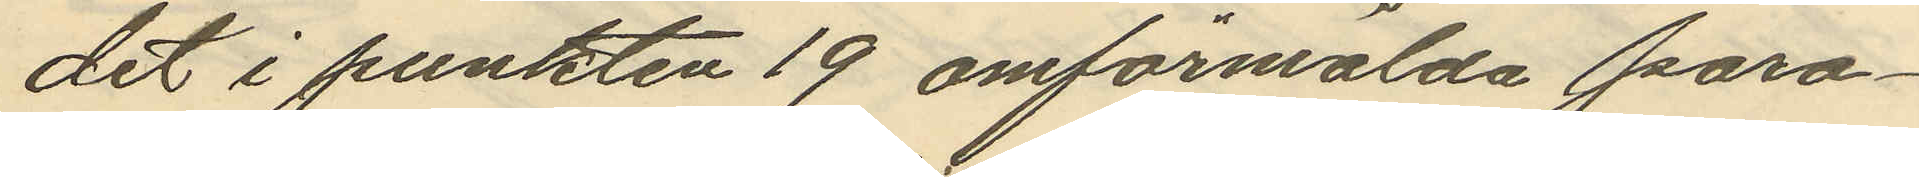det i punkten 19 omförmälda para¬
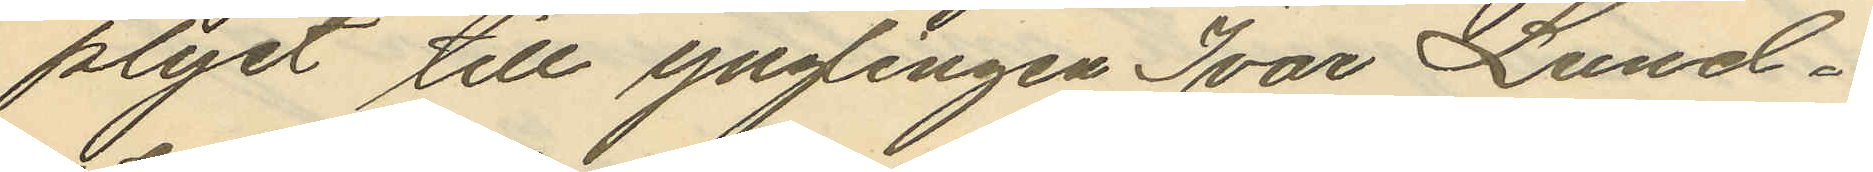plyet till yngingen Ivar Lund¬
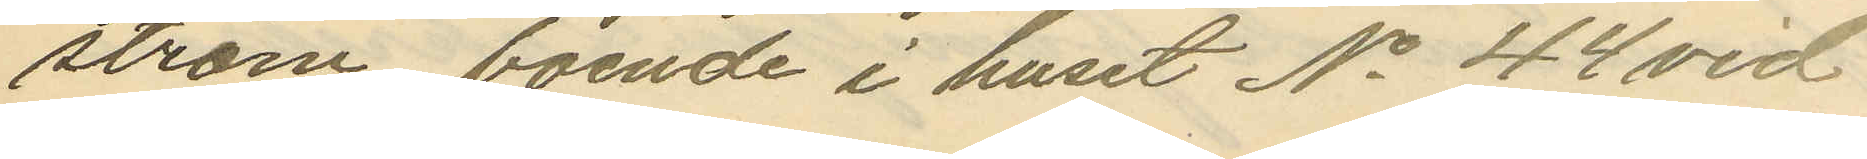ström, boende i huset No 44 vid
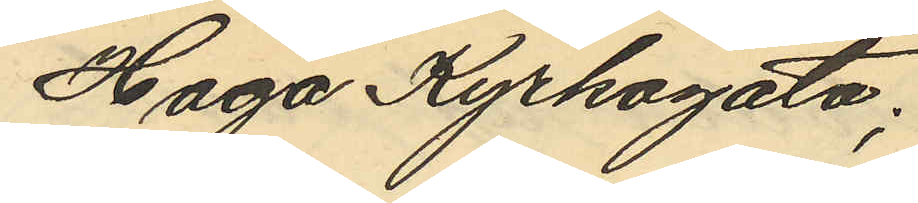Haga Kyrkogata;
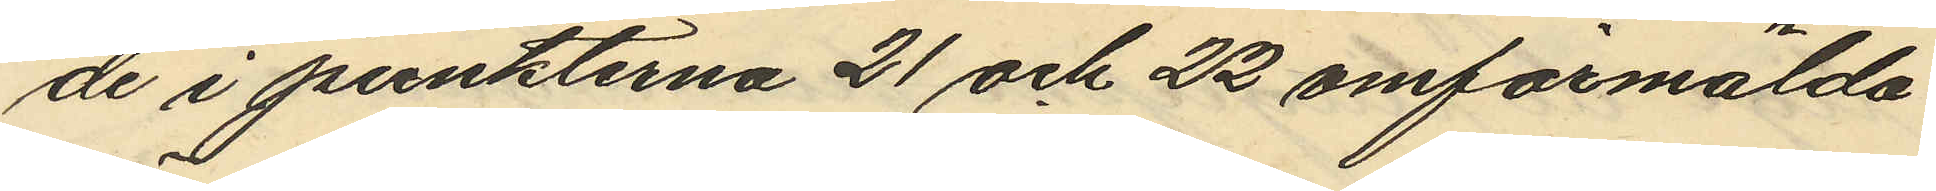de i punkterna 21 och 22 omförmälda
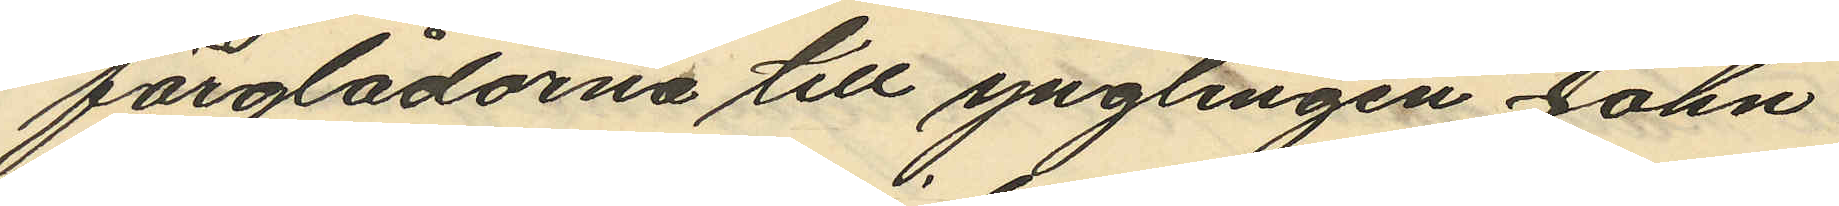färglådorna till ynglingen John
